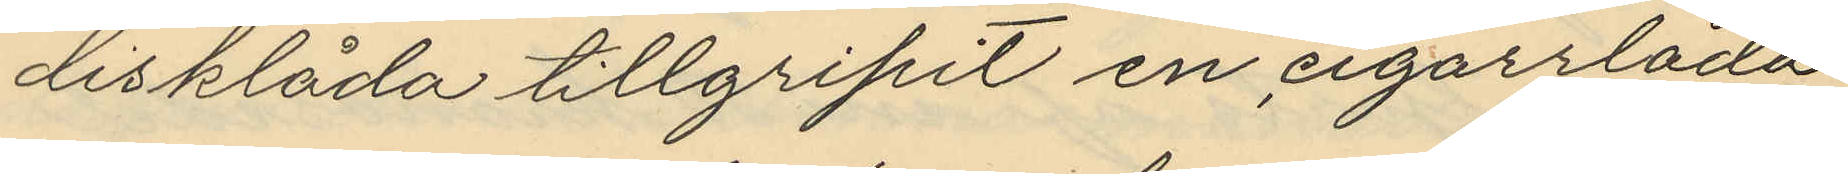disklåda tillgripit en cigarrlåda
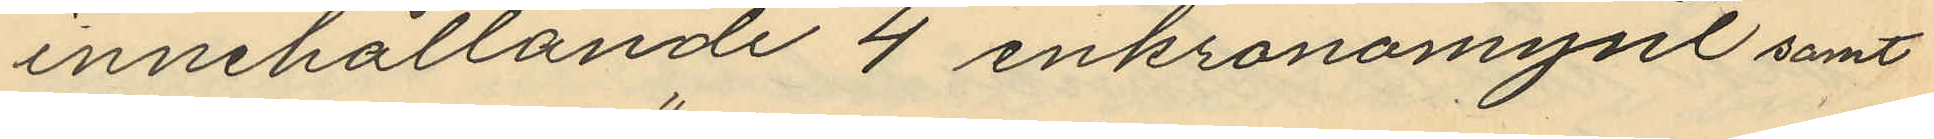innehållande 4 enkronomynt samt
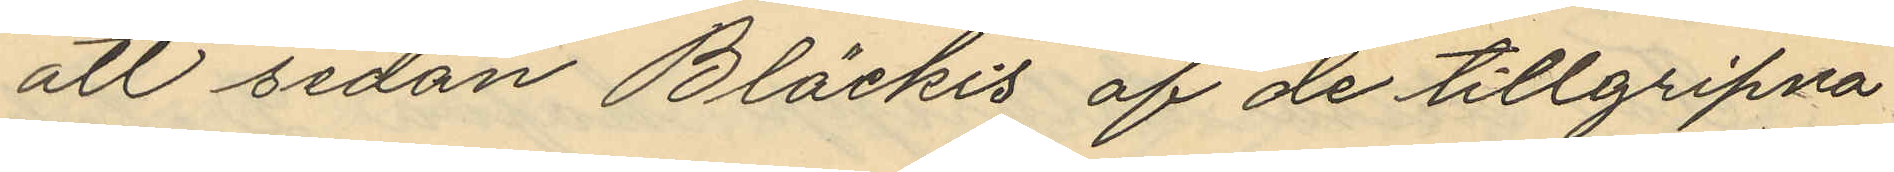att sedan "Bläckis" af de tillgripna
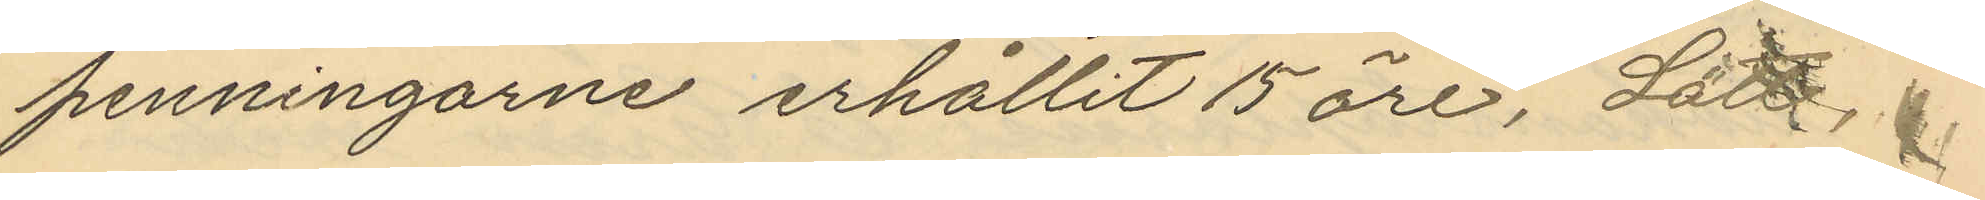penningarne erhållit 15 öre, Lätt,
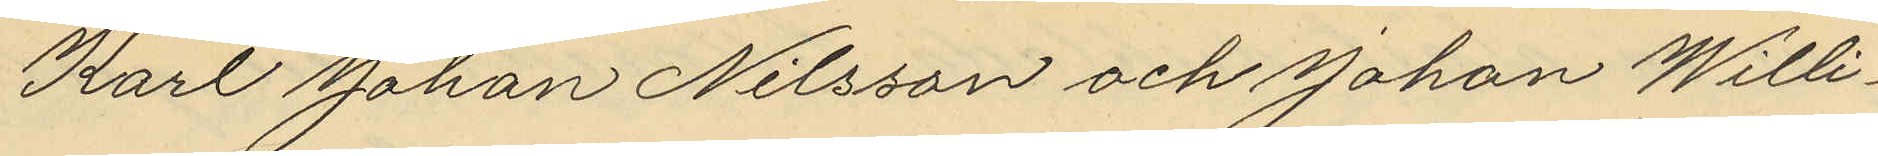Karl Johan Nilsson och Johan Willi¬
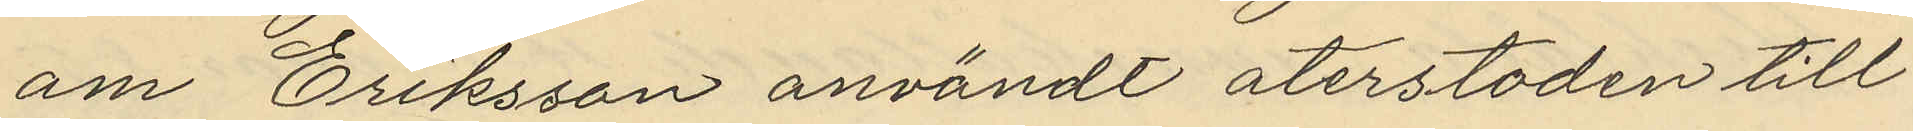am Eriksson användt återstoden till
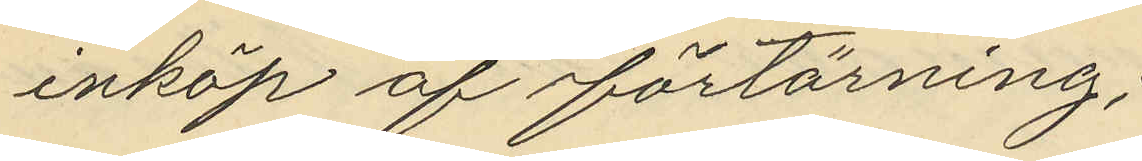inköp af förtärning;
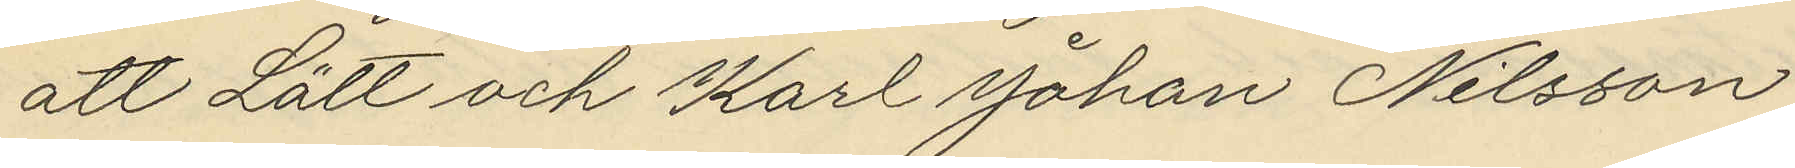att Lätt och Karl Johan Nilsson
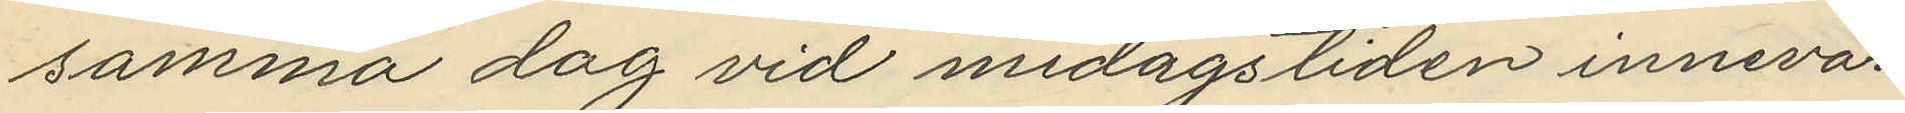samma dag vid midagstiden innevar¬
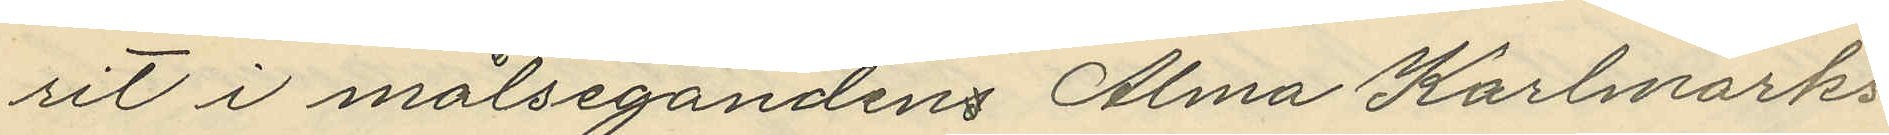rit i målsegandens Alma Karlmarks
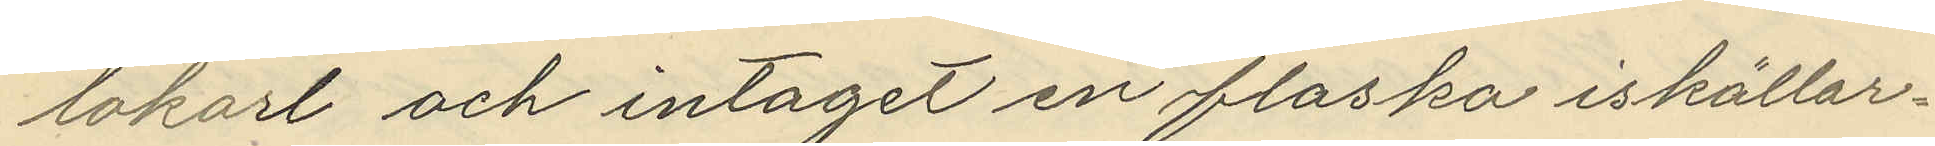lokarl och intagit en flaska iskällar¬
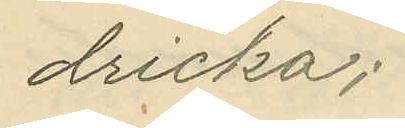dricka;
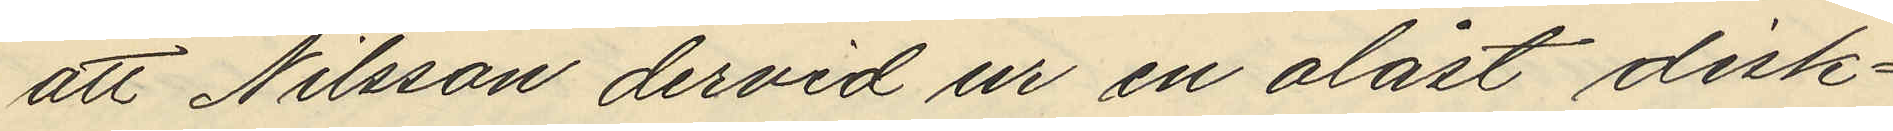att Nilsson dervid ur en olåst disk¬
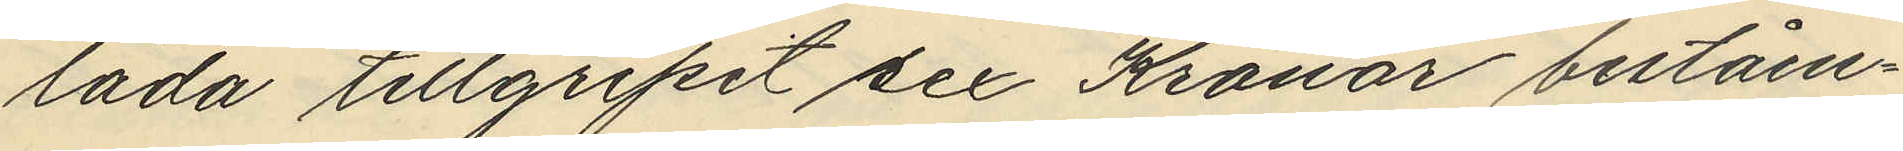låda tillgripit sex Kronor beståen¬
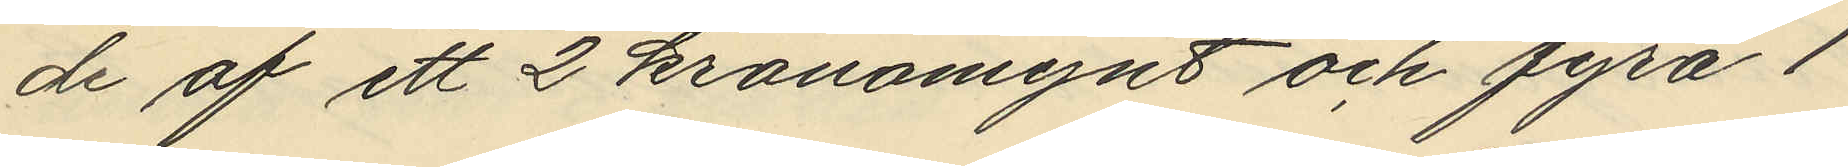de af ett 2 kronomynt och fyra 1
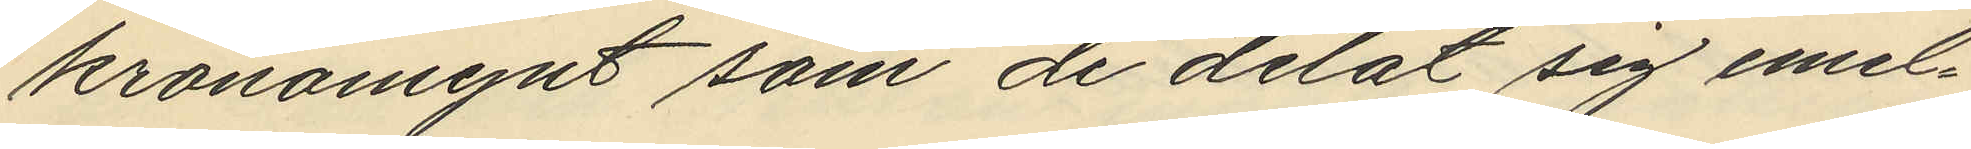kronomynt som de delat sig emel¬
